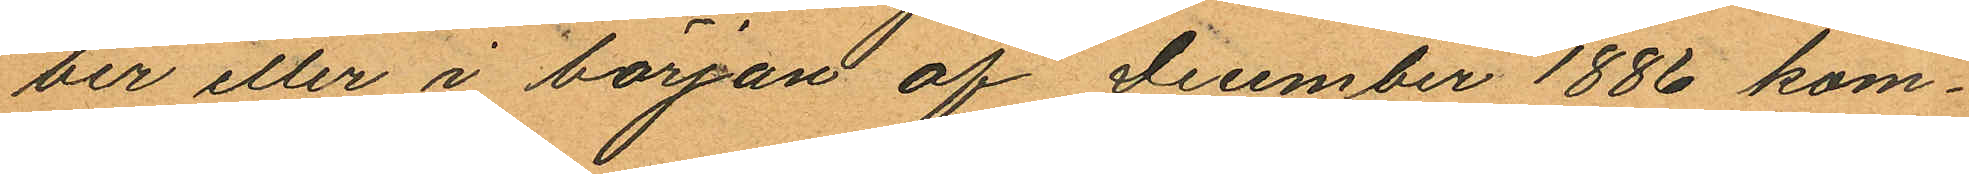ber eller i början af December 1886 kom¬
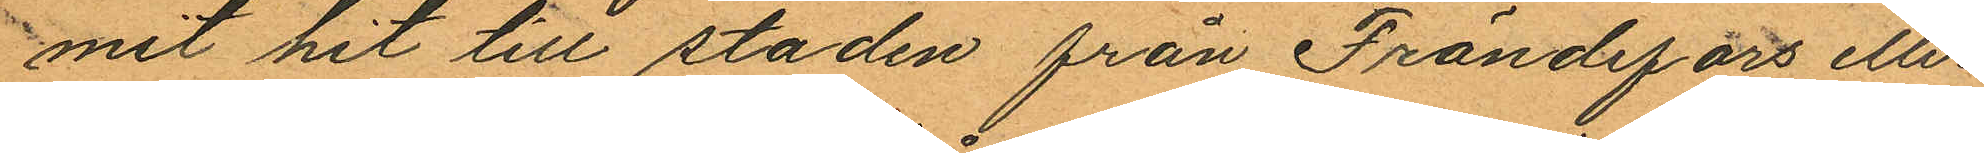mit hit till staden från Frändefors eller
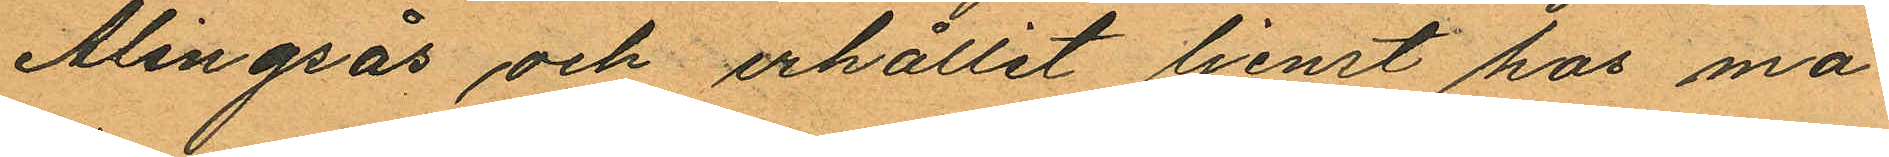Alingsås och erhållit tjenst hos ma¬
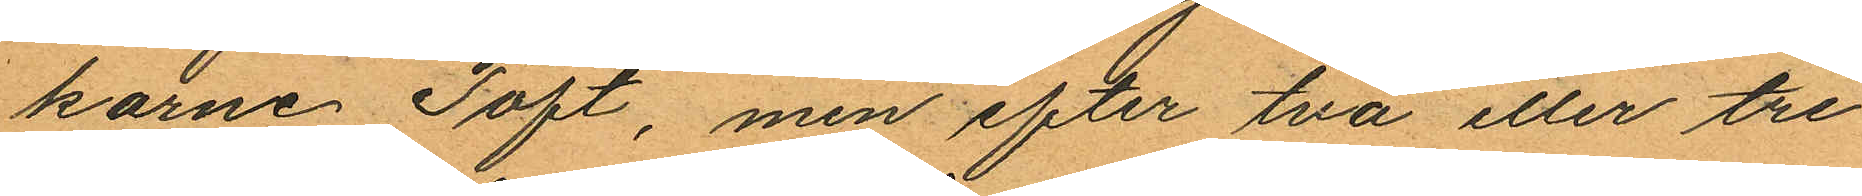karne Toft, men efter två eller tre
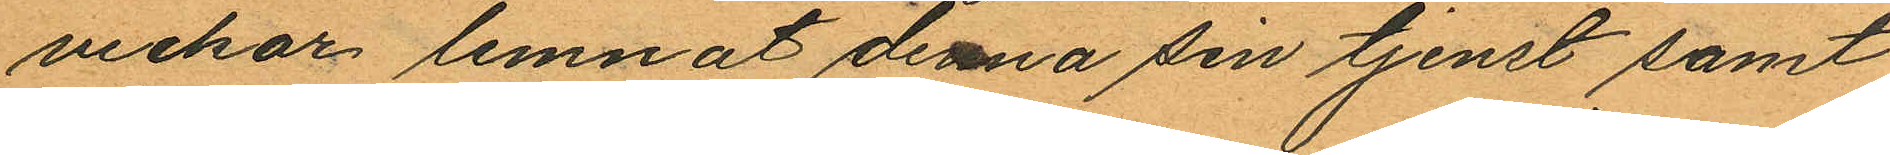veckor lemnat denna sin tjenst samt
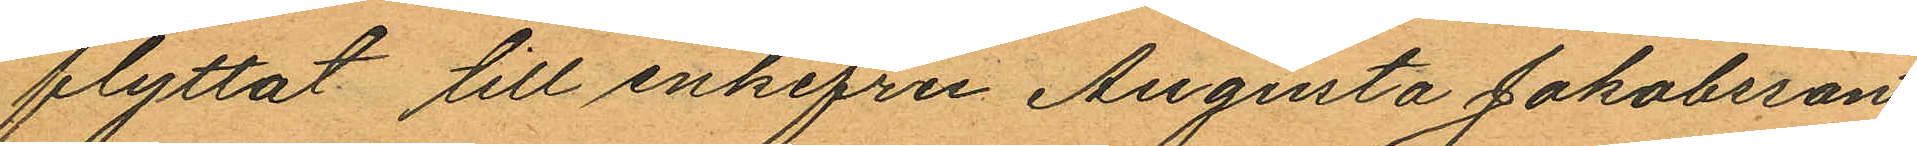flyttat till enkefru Augusta Jakobsson,
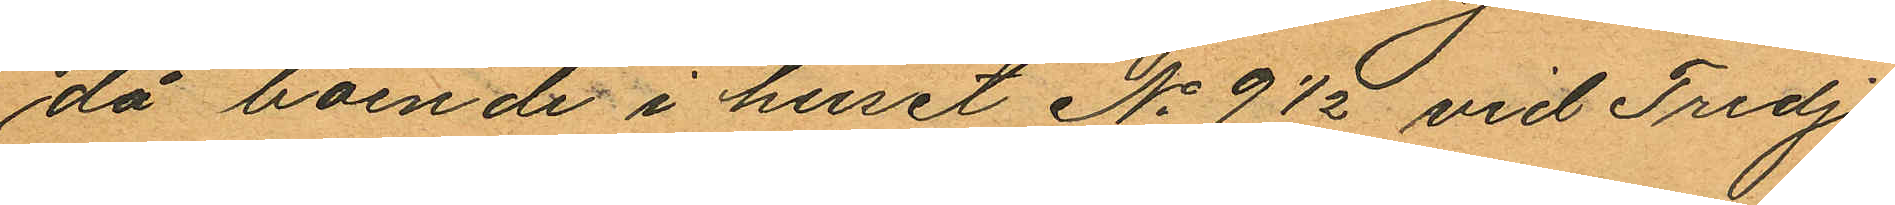då boende i huset No 9½ vid Tredje
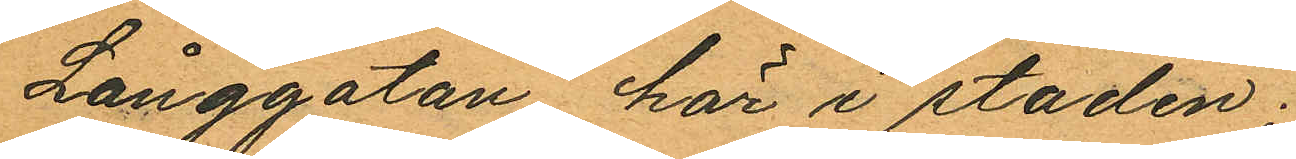Långgatan här i staden;
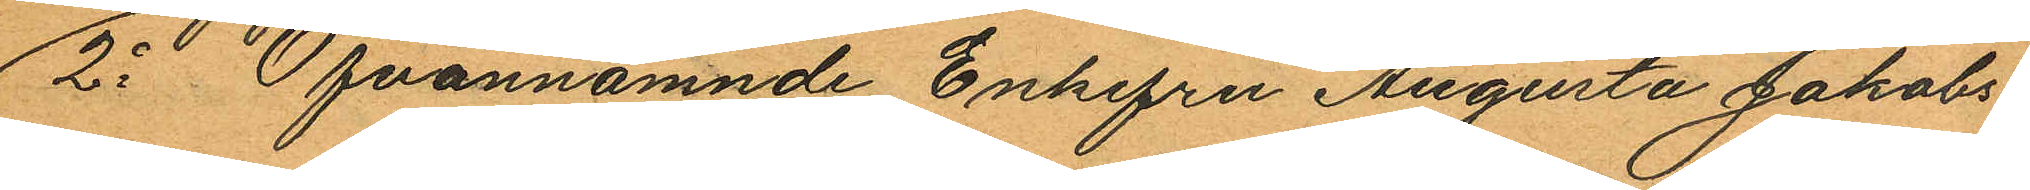2o Ofvannämnde Enkefru Augusta Jakobs¬
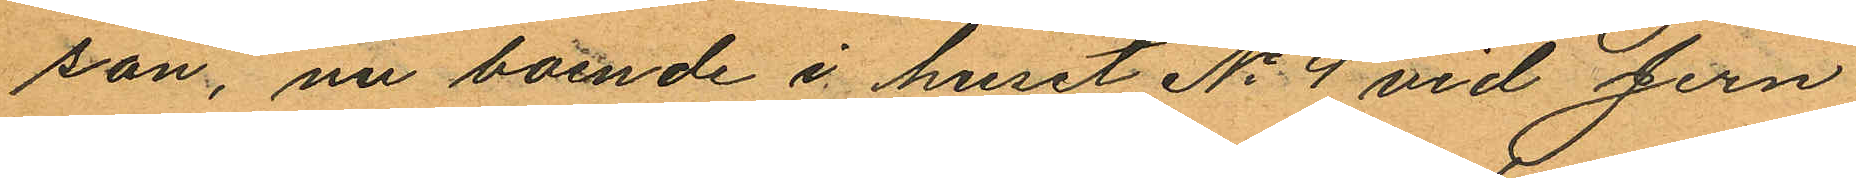son, nu boende i huset No 4 vid Jern¬
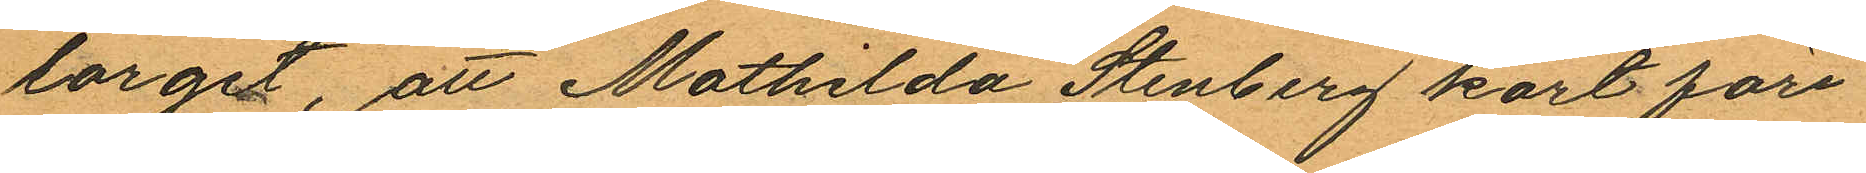torget, att Mathilda Stenberg kort före
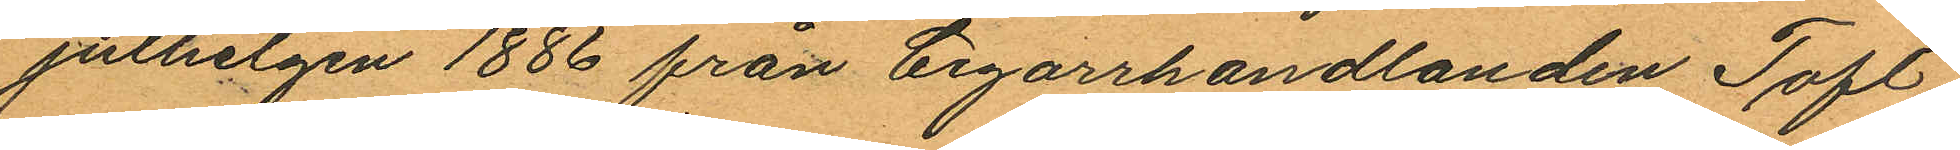julhelgen 1886 från Cigarrhandlanden Toft
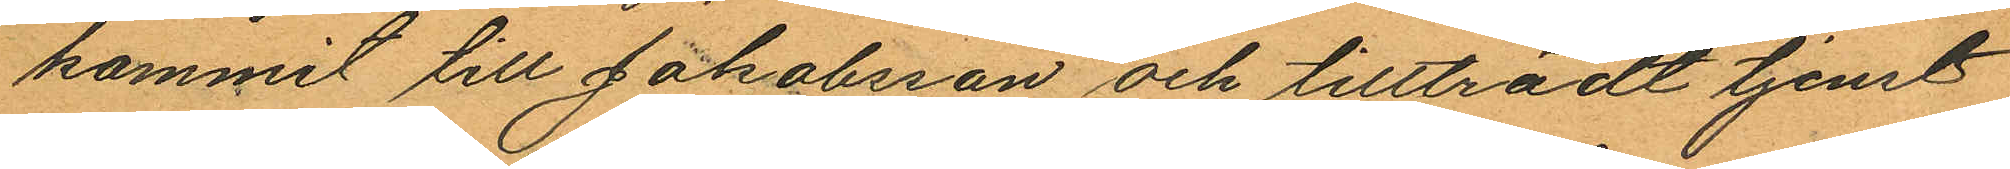kommit till Jakobsson och tillträdt tjenst
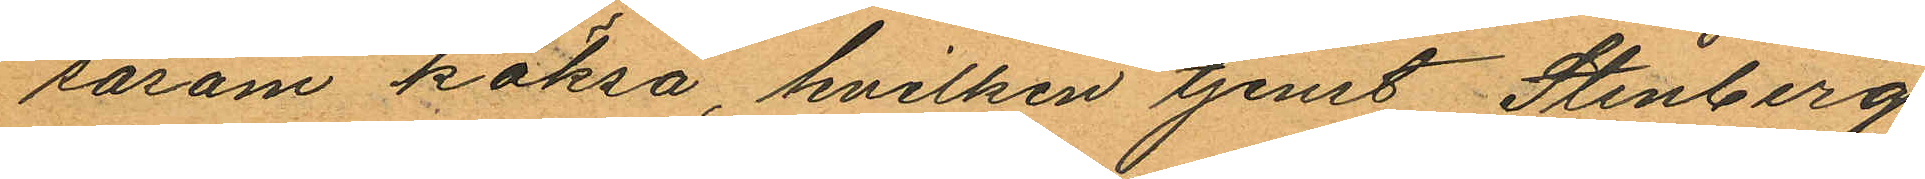såsom köksa, hvilken tjenst Stenberg
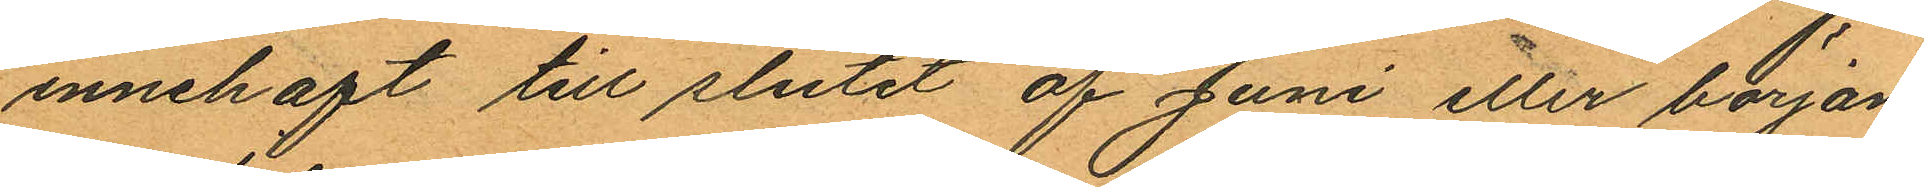innehaft till slutet af Juni eller början
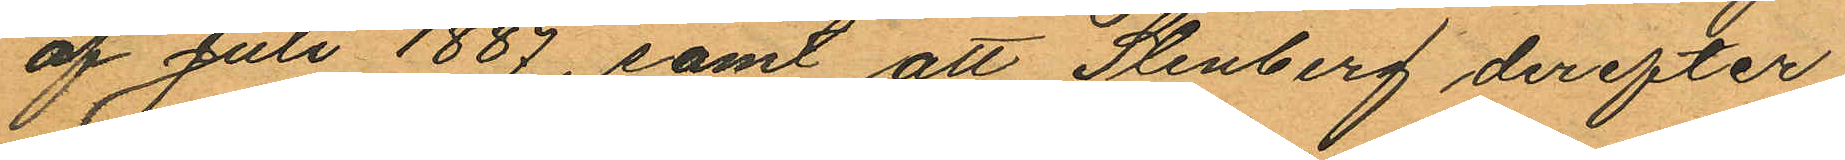af Juli 1887, samt att Stenberg derefter
